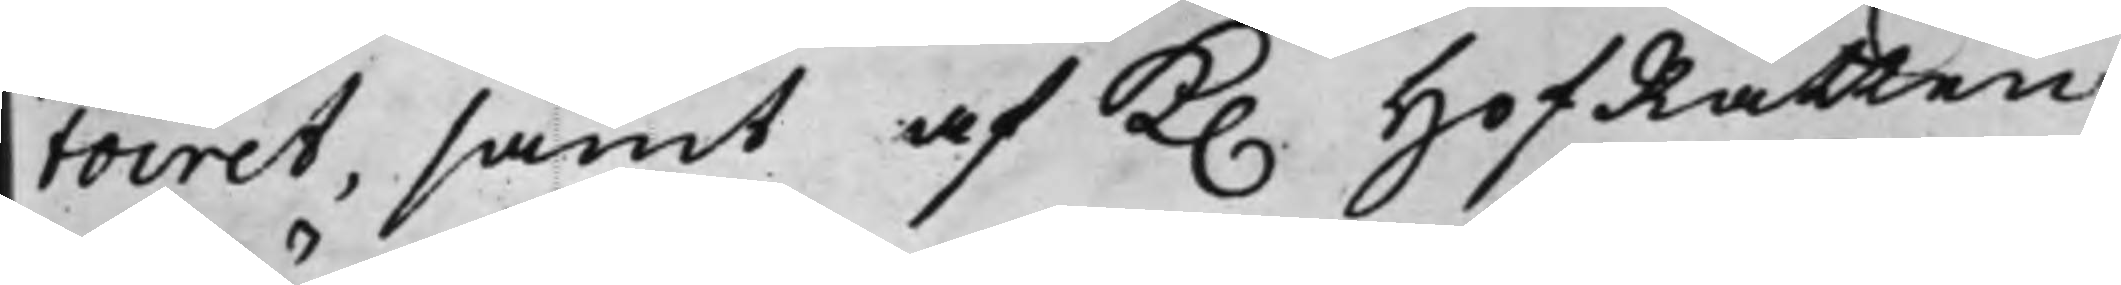toiret, samt af K. HofRätten
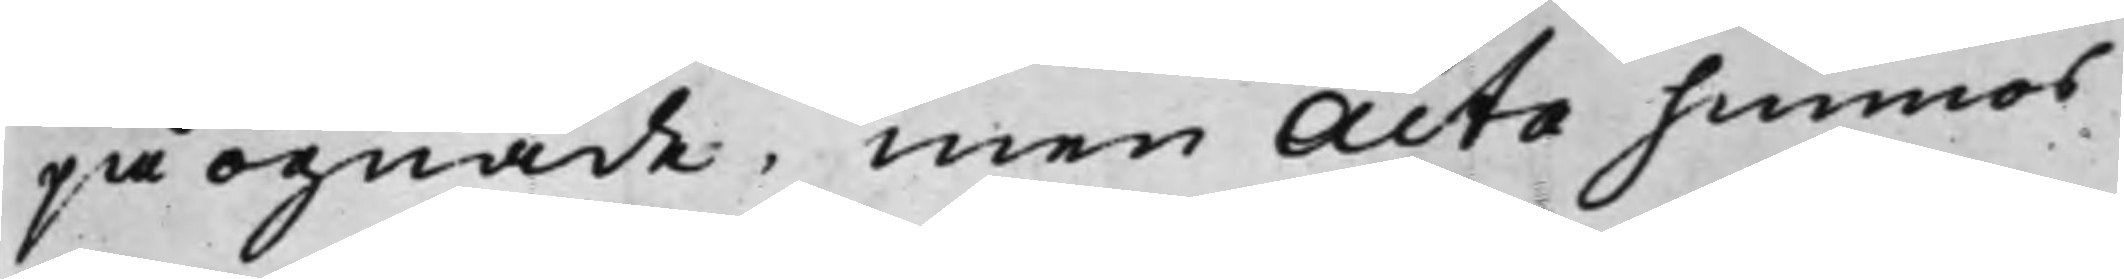påögnade, men Acta hunnos
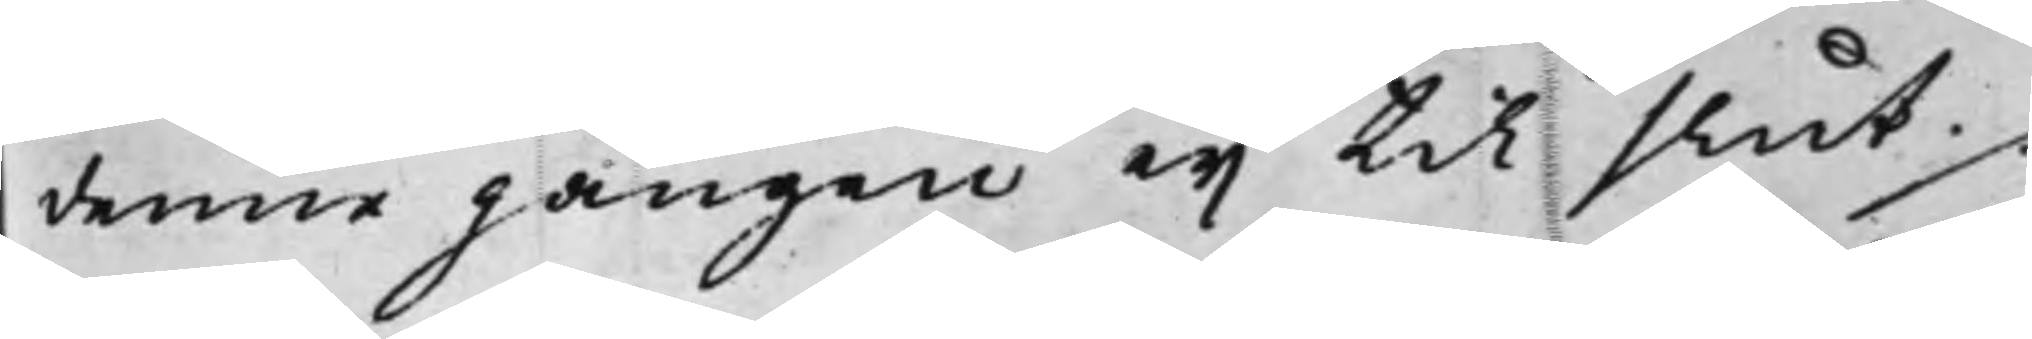denne gången eij til slut ./.
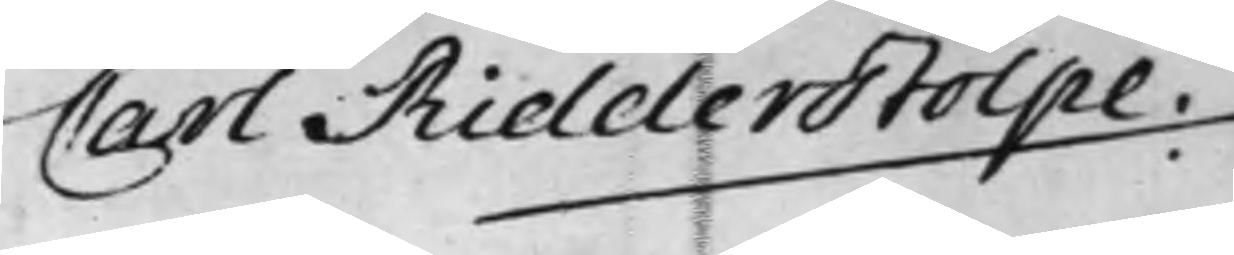Carl Ridderstolpe.
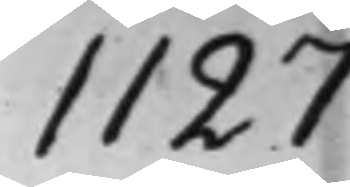1127
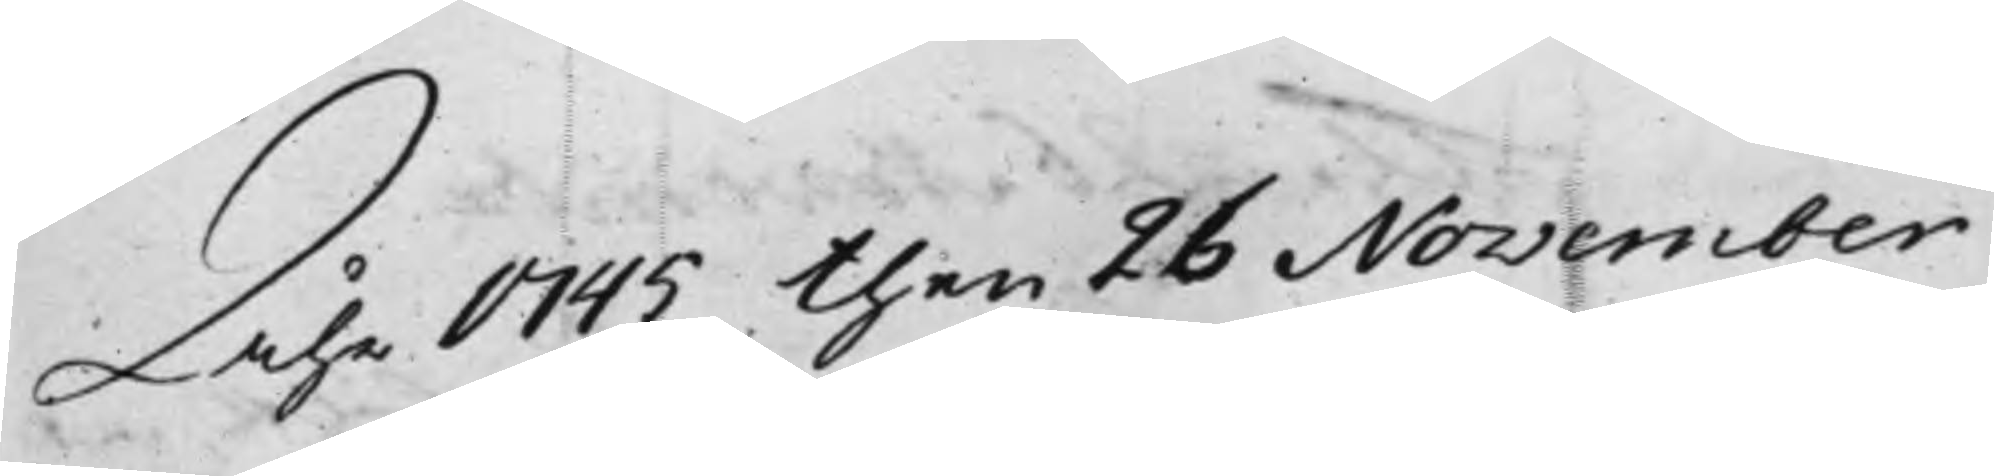Åhr 1745 then 26 November
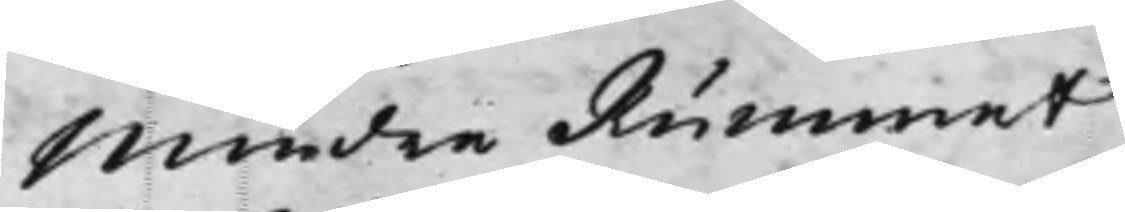Mindre Rummet
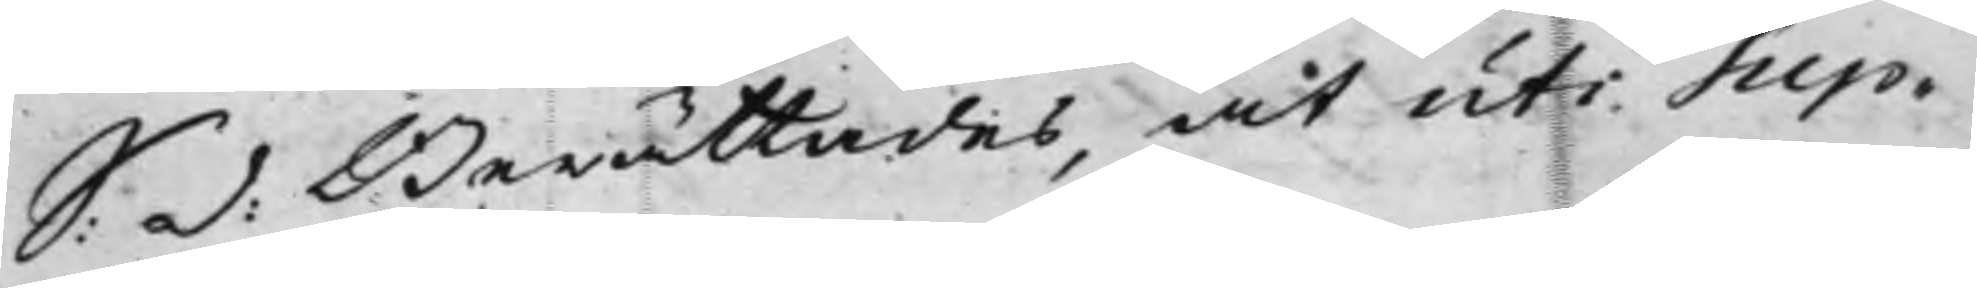S: d: Berättades, at uti Sup¬
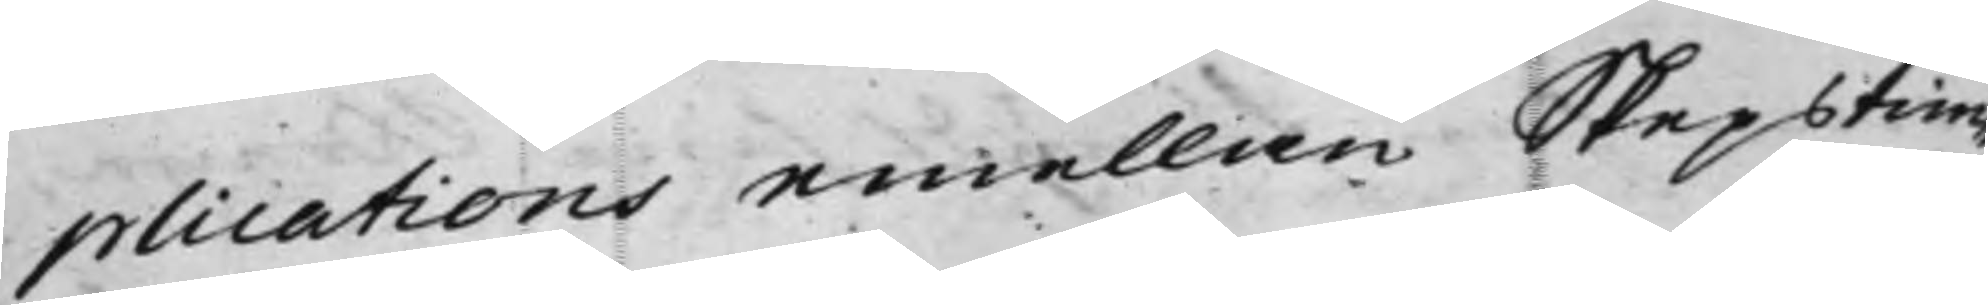plications emellan Skepstim¬
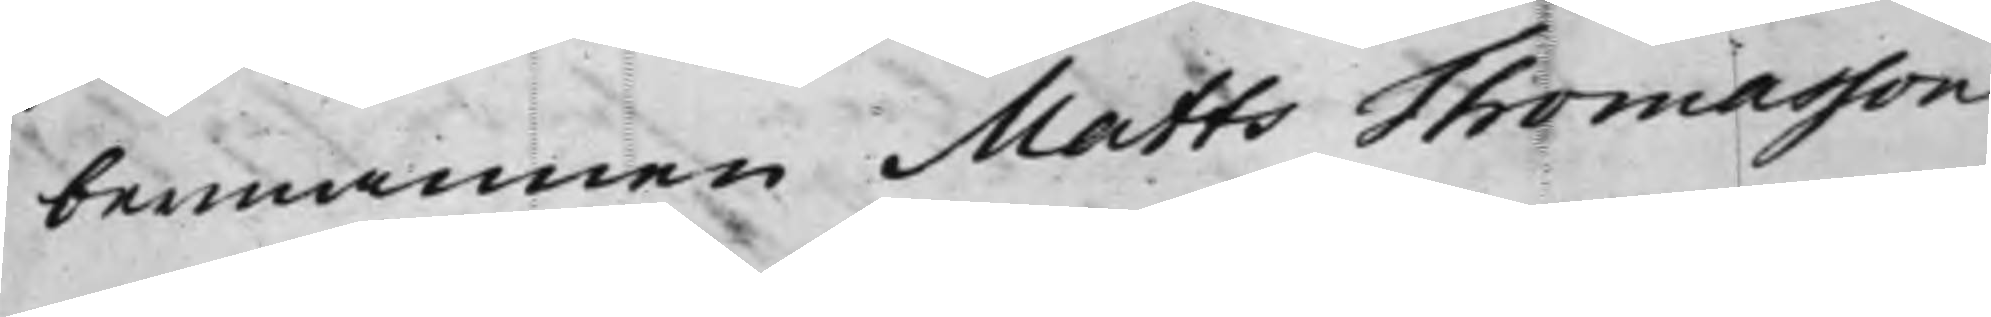bermannen Matts Thomasson
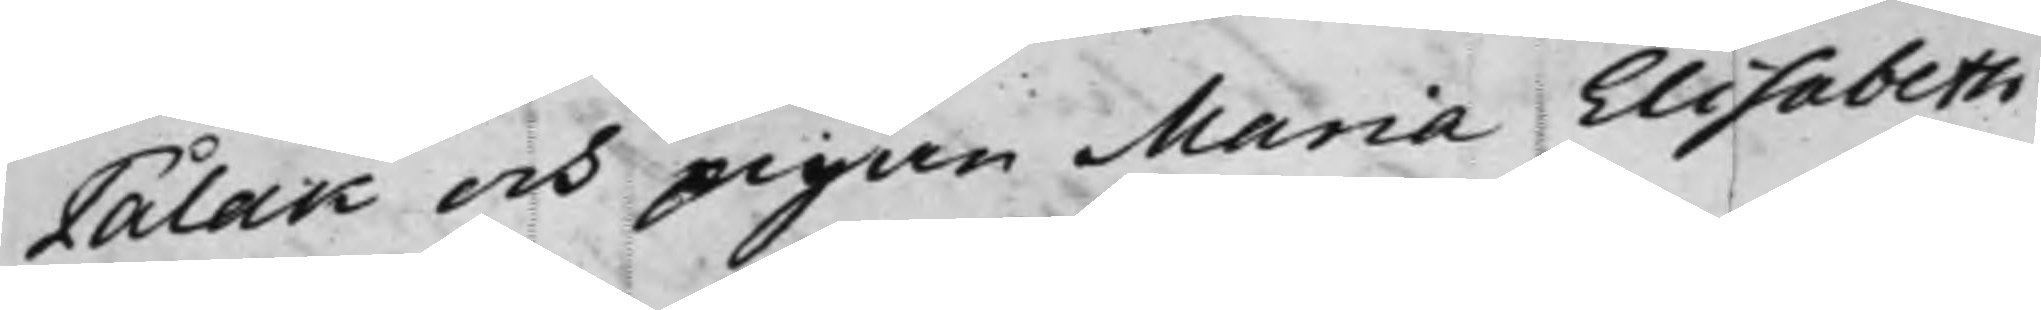Pålak och pigan Maria Elisabeth<
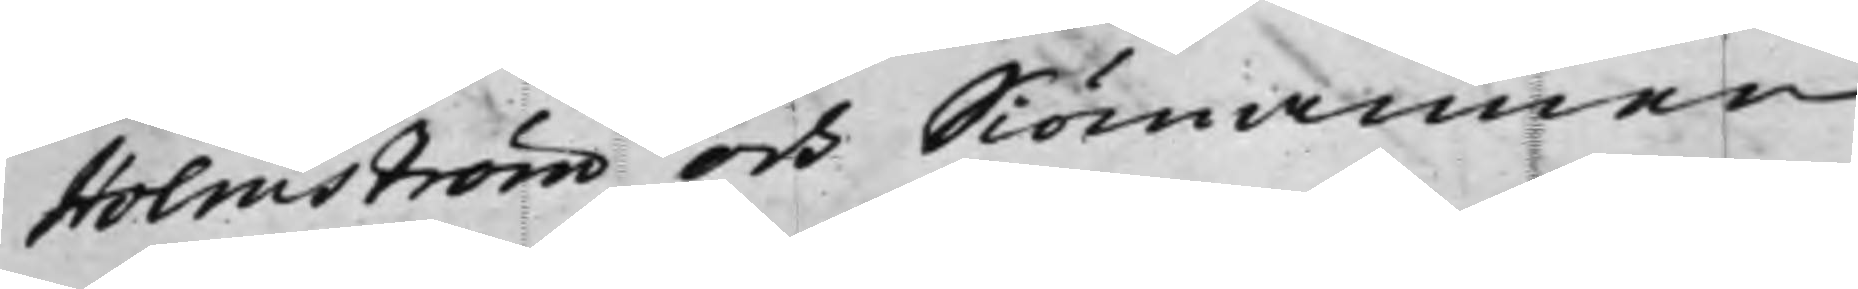Holmström och Siömannen
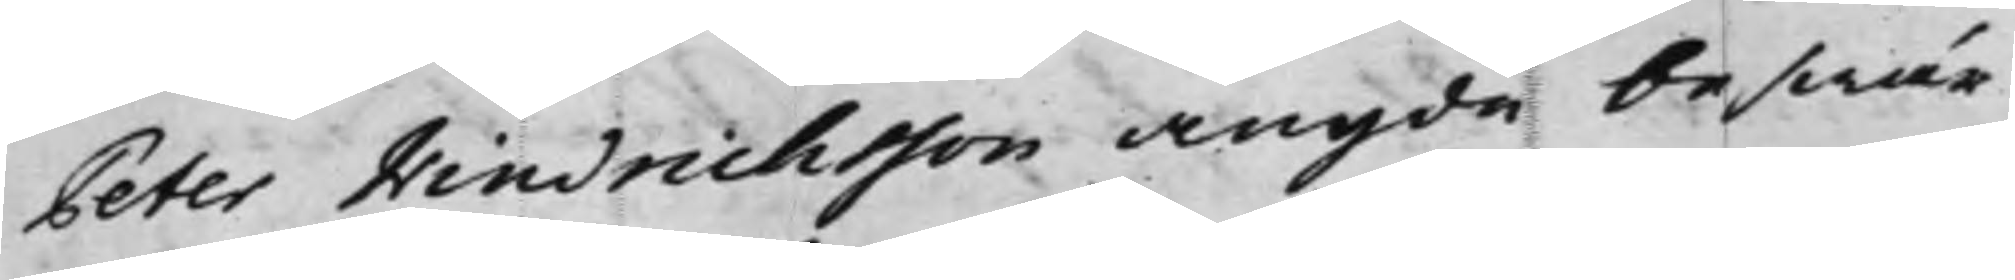Peter Hindrichsson angde beswär
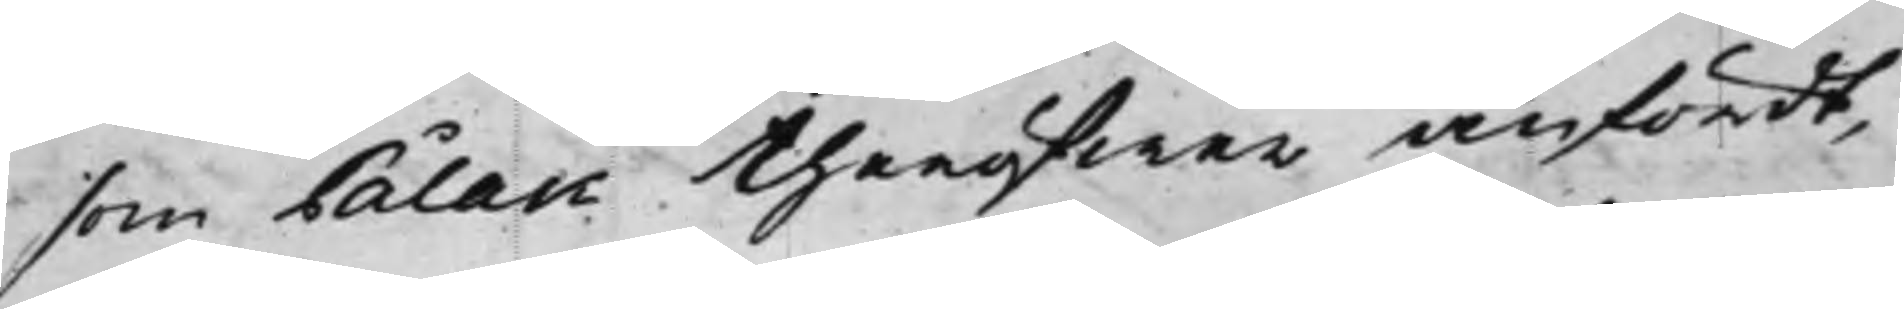som Pålak theröfwer anfördt,
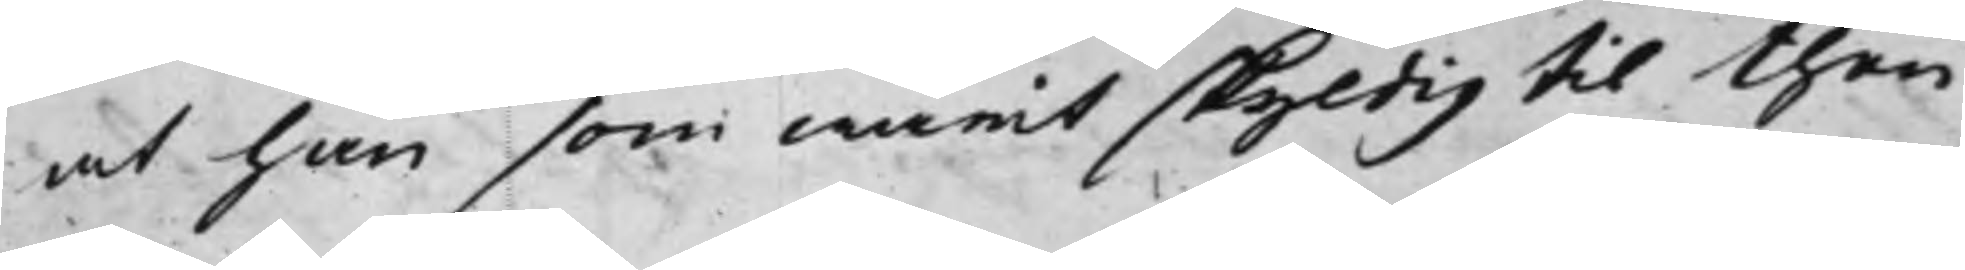at han som warit skyldig til then
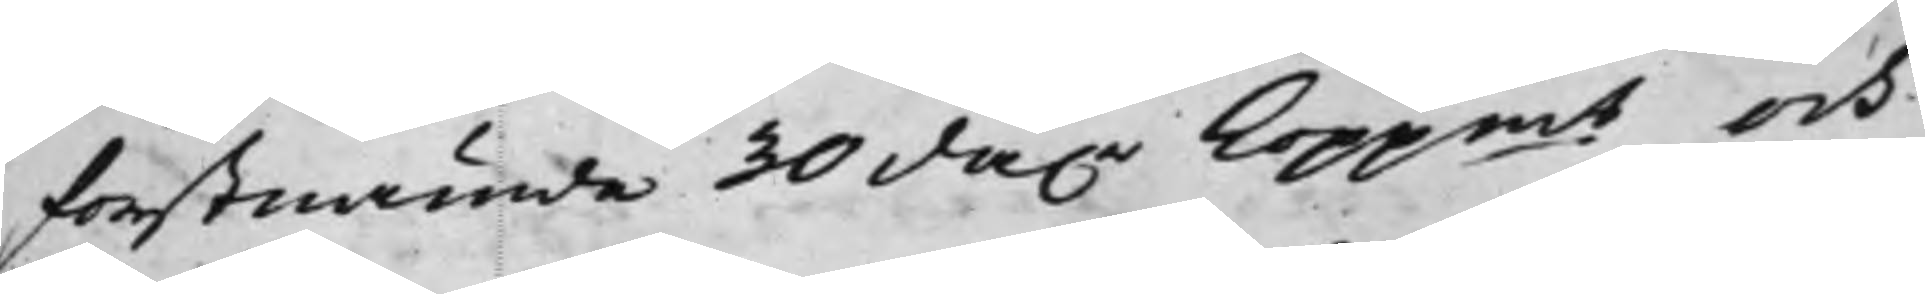förstnämde 30 da.r Koppmt och
